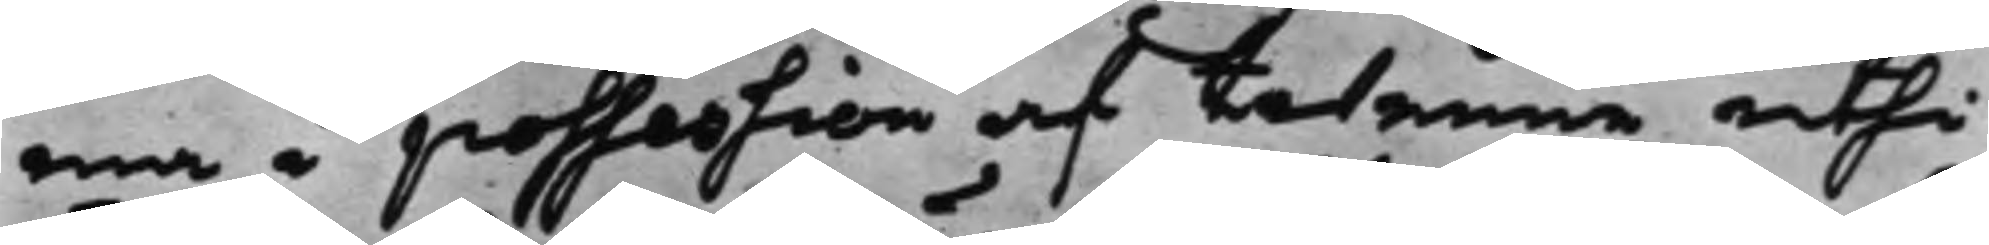ma i possession af twenne uthi
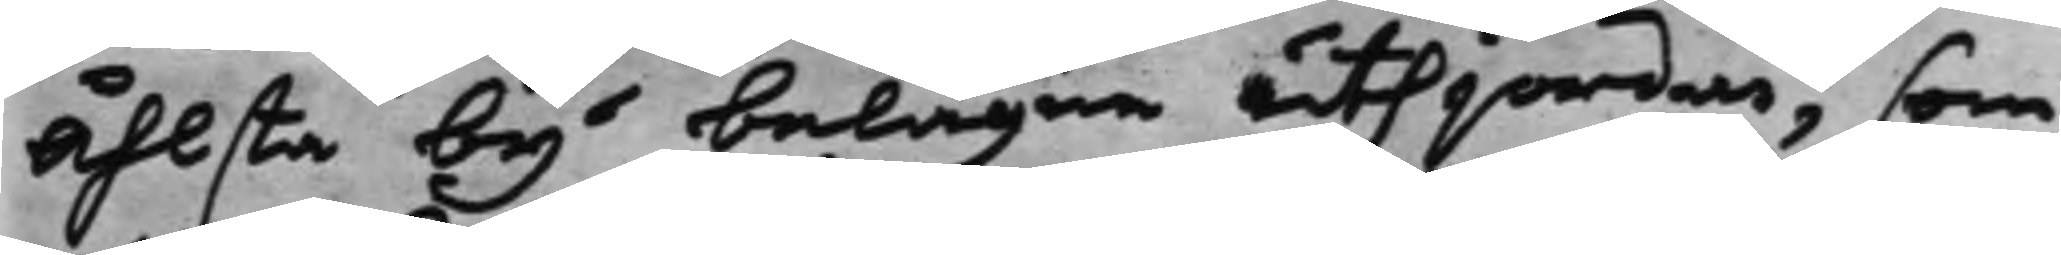Åhlsta by belägne uthjordar, som
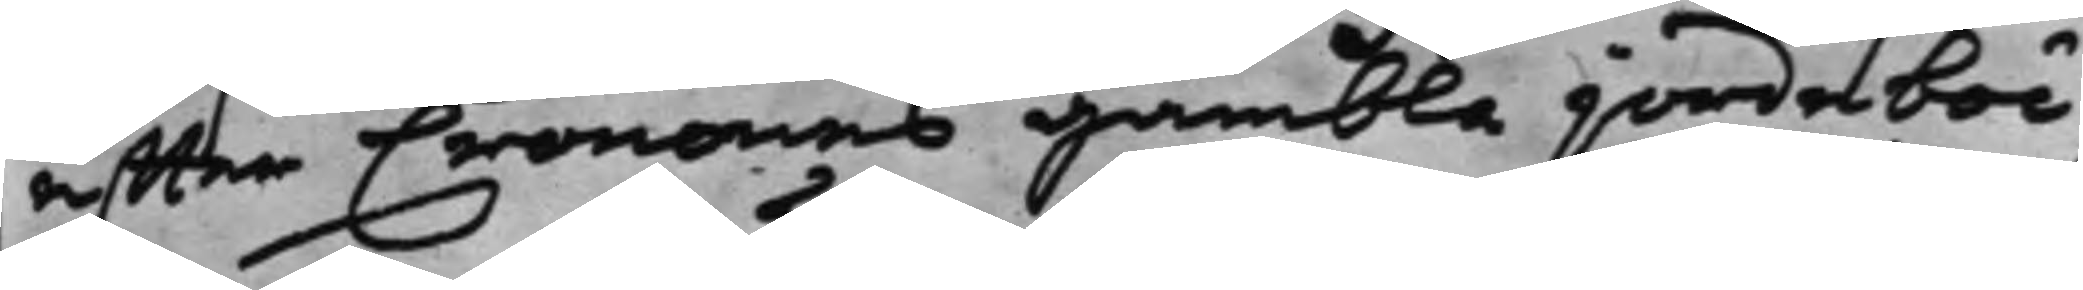effter Cronans gambla jordeböc¬
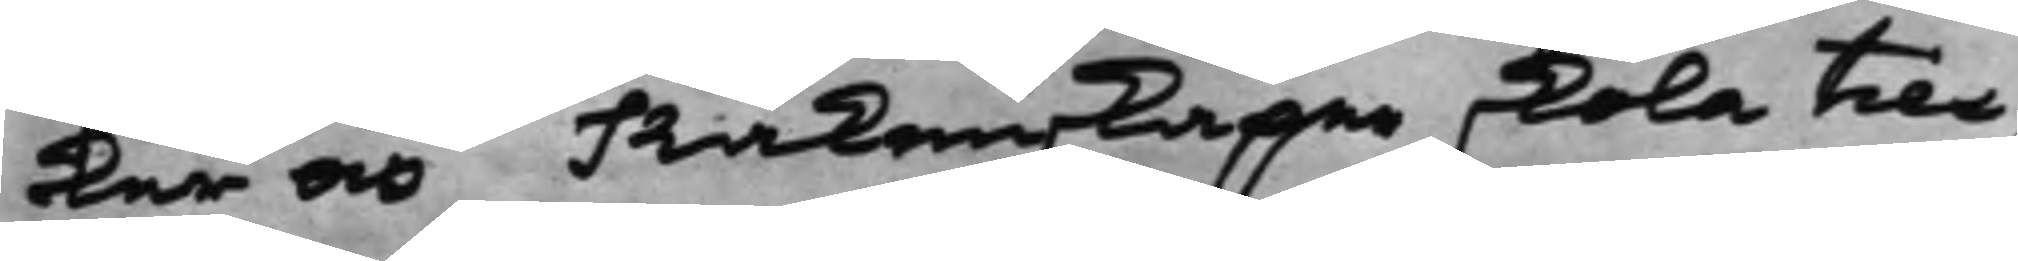ker och Räkenskaper, skola till¬
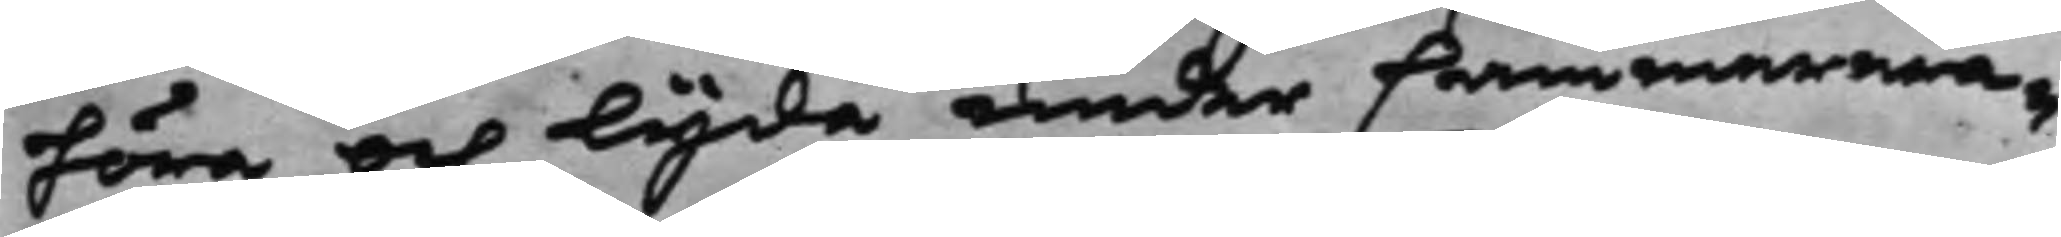höra och lyda under Cammerera¬
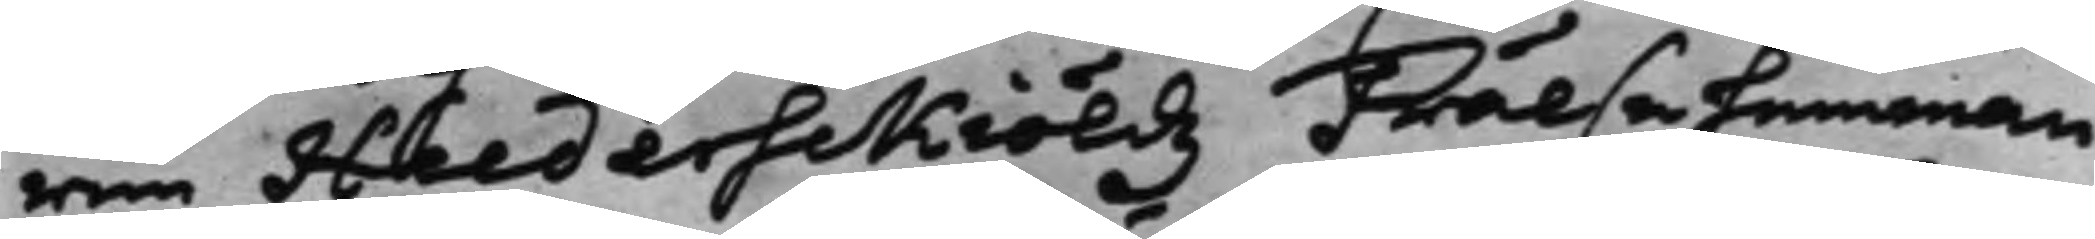ren Heederskiöldz Frälsehemman
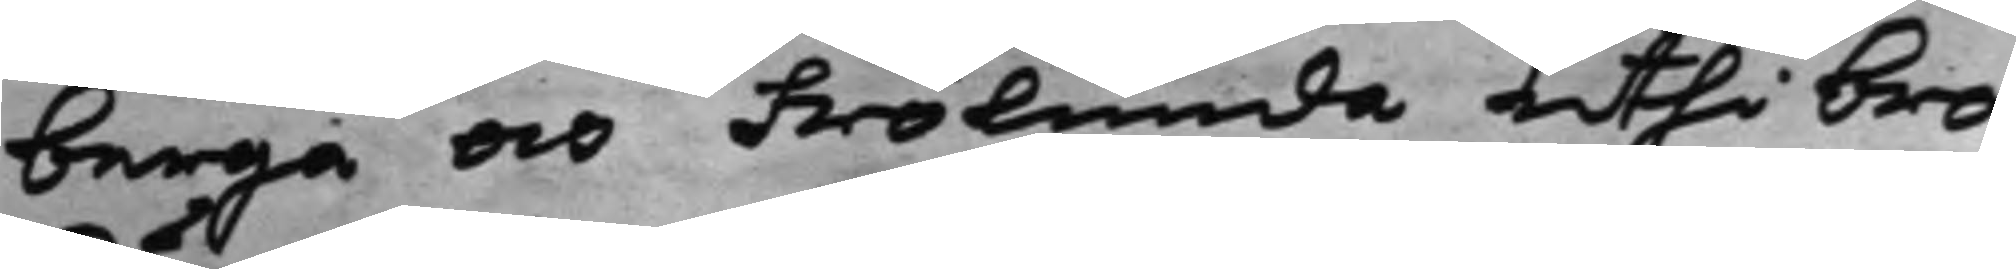Berga och Frölunda uthi Bro
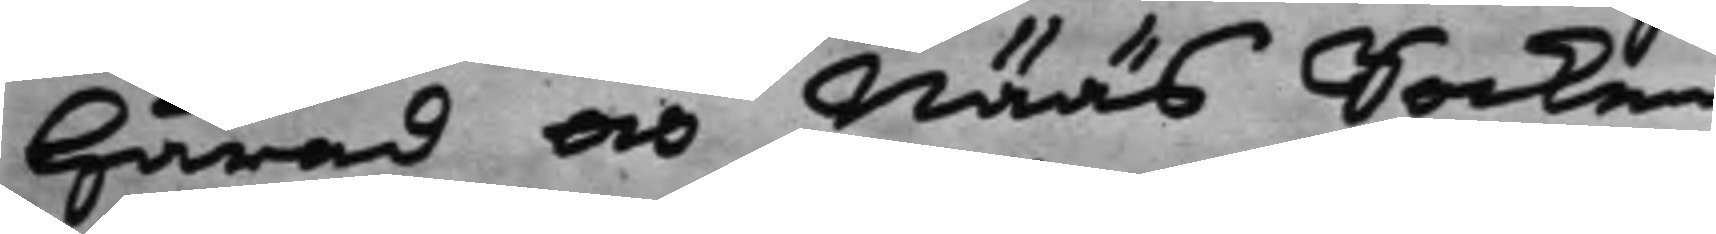Härad och Nääs Socken.
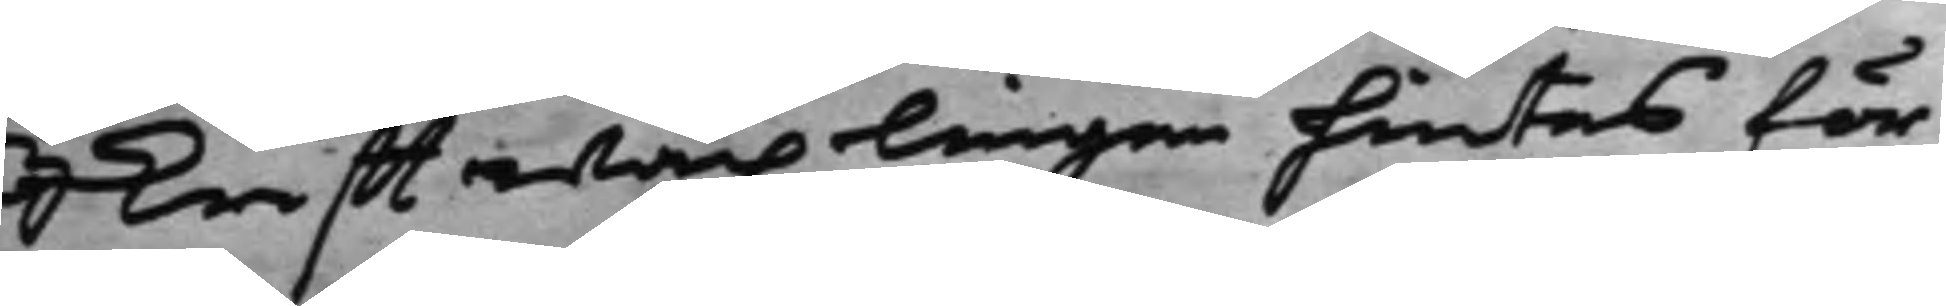Skrifftwäxlingen hintes för
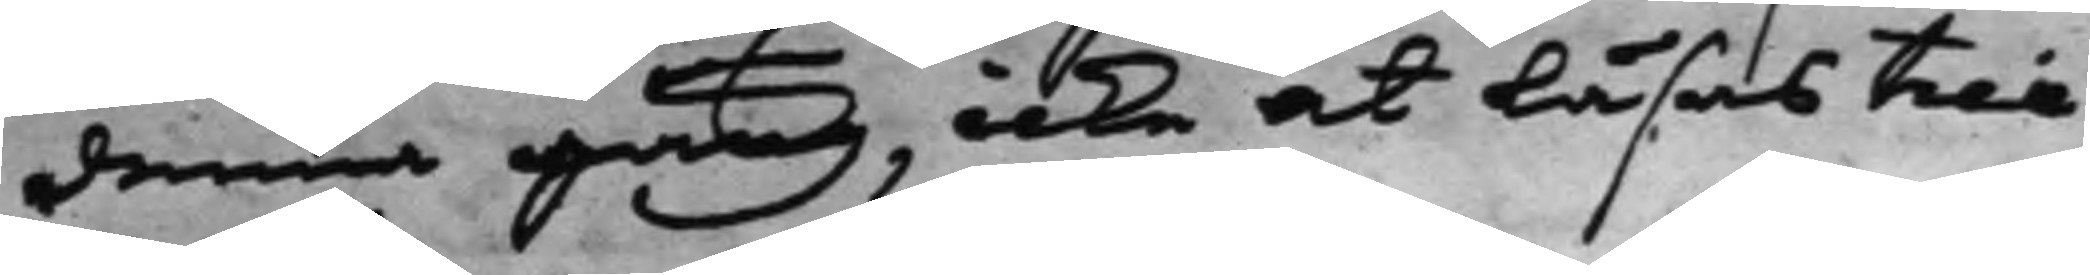denna gång, icke at läsas till
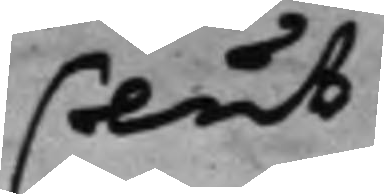slut.
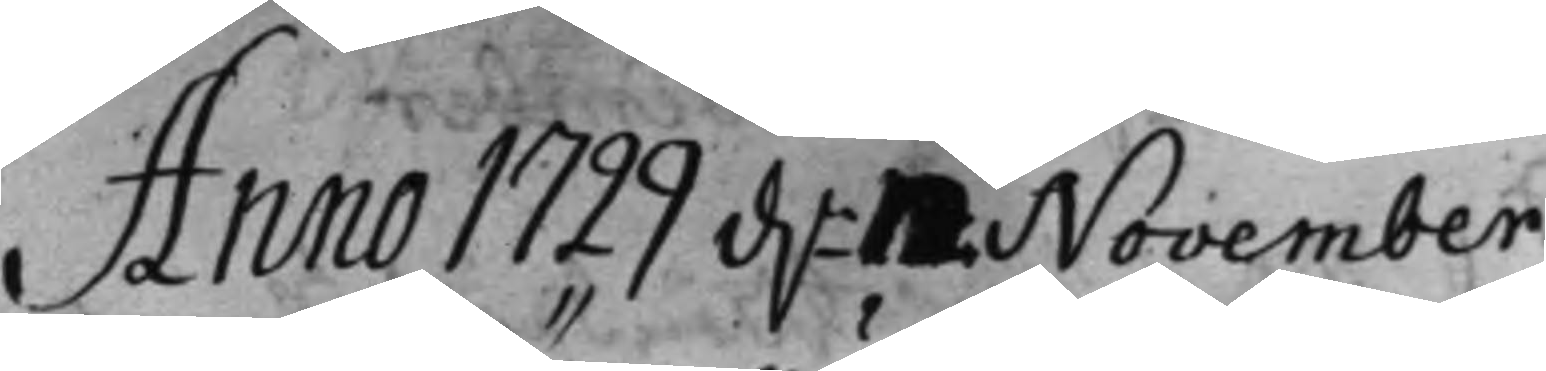Anno 1722 d. 12 November
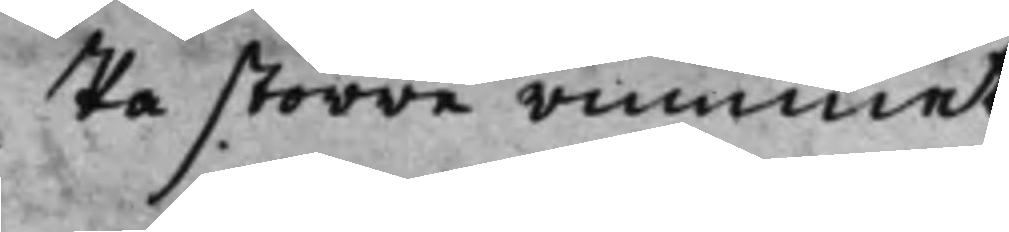På större rummet
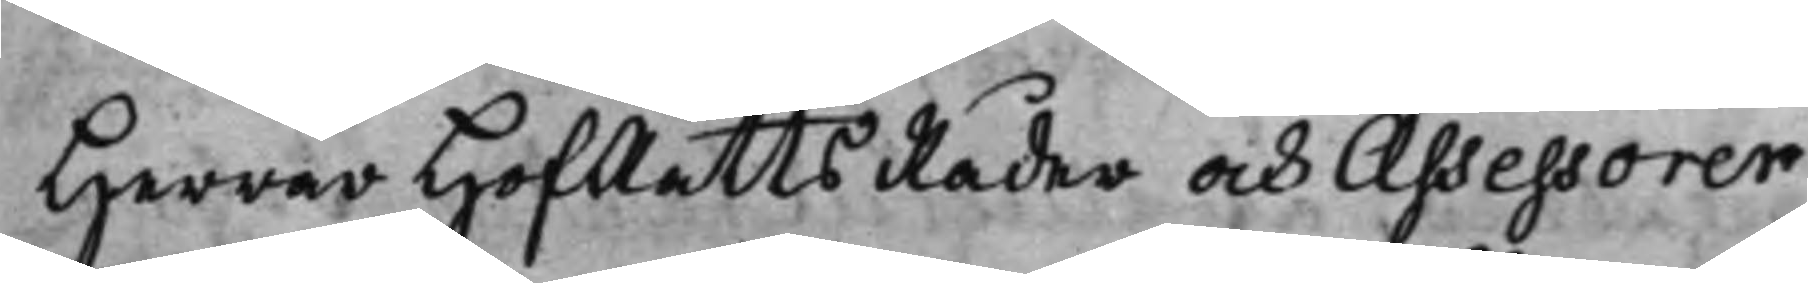Herrar HofRätts Råder och Assessorer
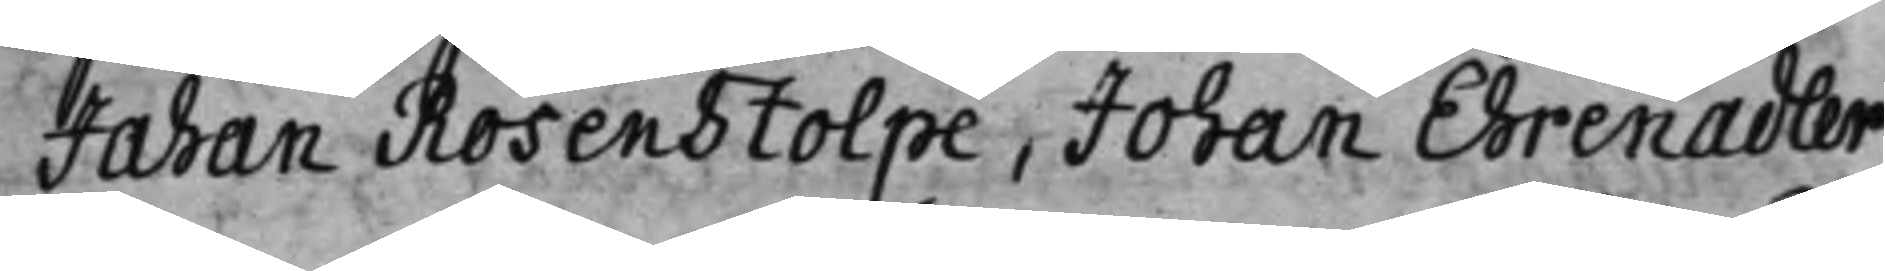Johan Rosenstolpe, Johan Ehrenadler
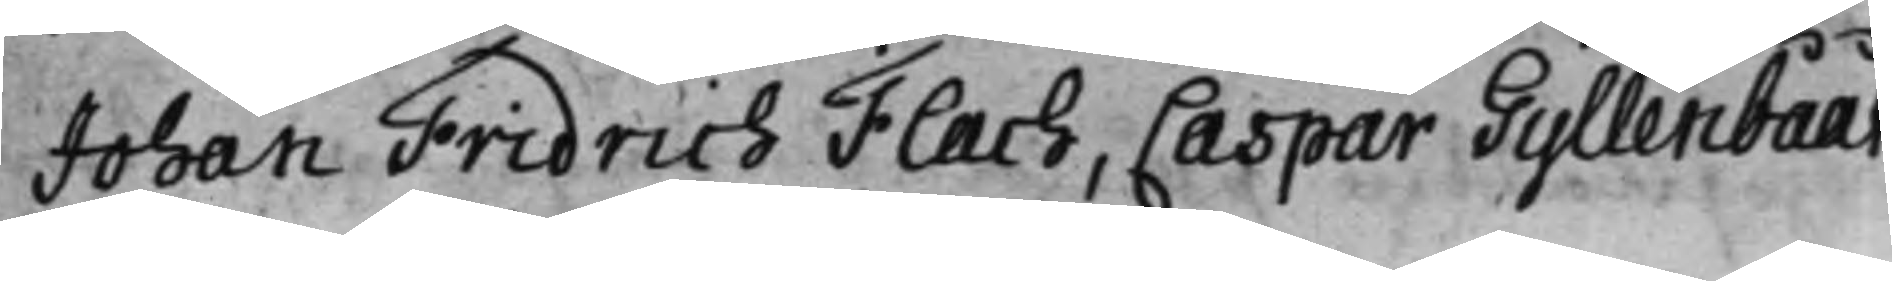Johan Fridrich Flach, Caspar Gyllenbååt
